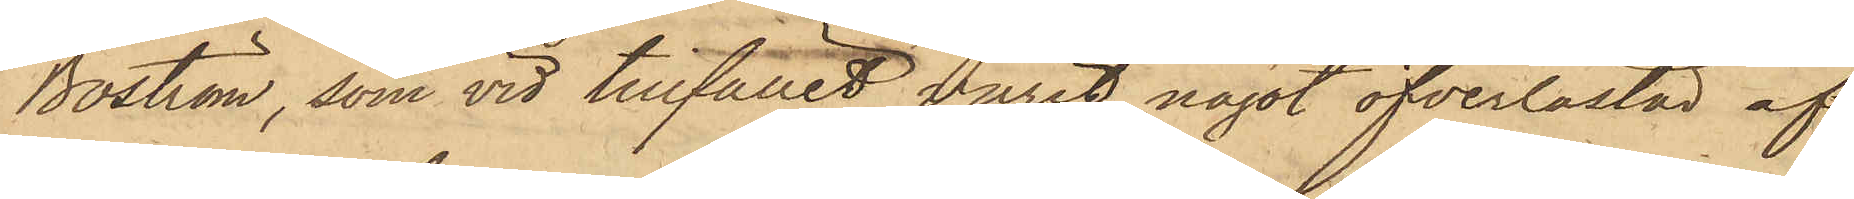Boström, som vid tillfället varit något öfverlastad af
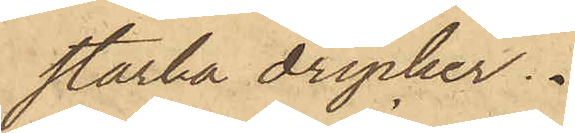starka drycker.
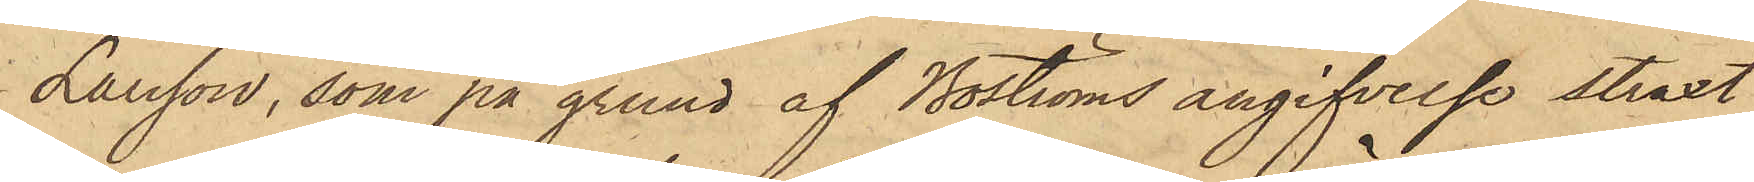Larsson, som på grund af Boströms angifvelse straxt
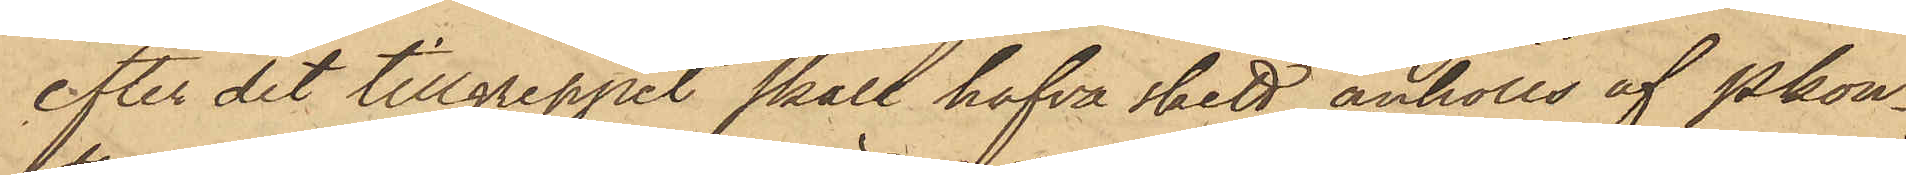efter det tillgreppet skall hafva skett anhölls af Pkon¬
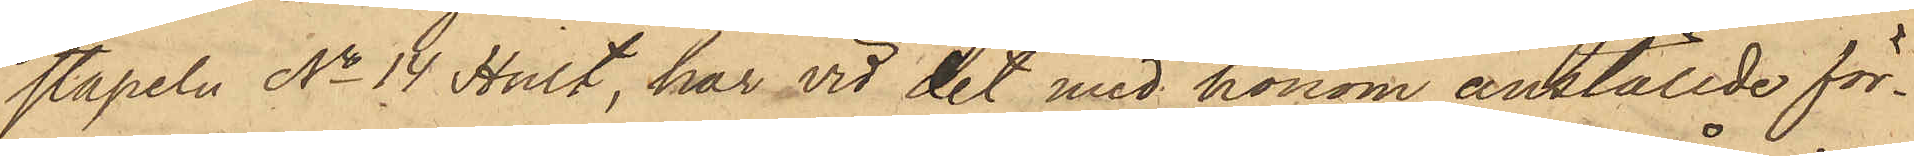stapeln No 14 Hult, har vid det med honom anställde för¬
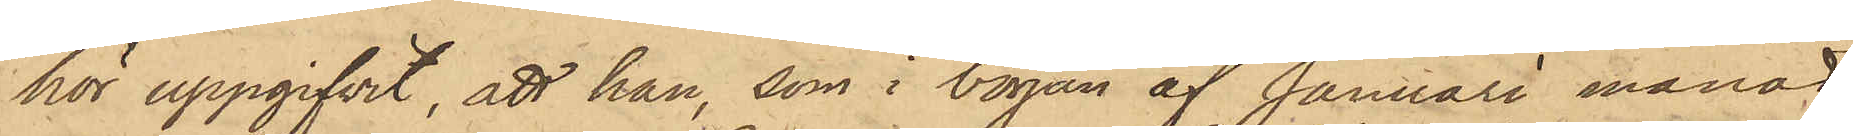hör uppgifvit, att han, som i början af Januari månad
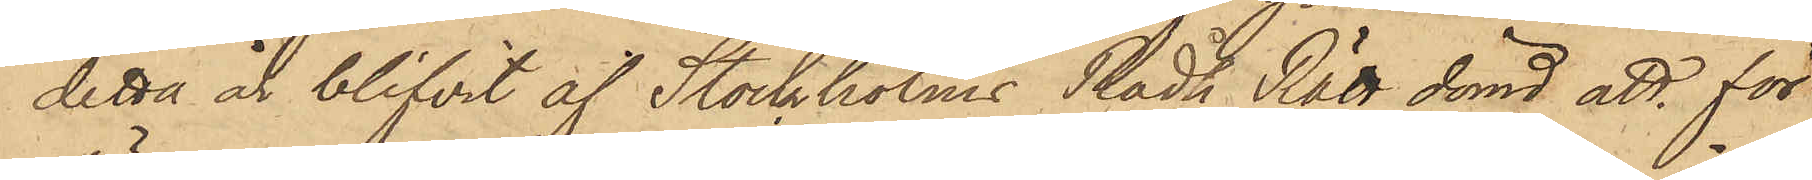detta år blifvit af Stockholms Rådh Rätt dömd att för
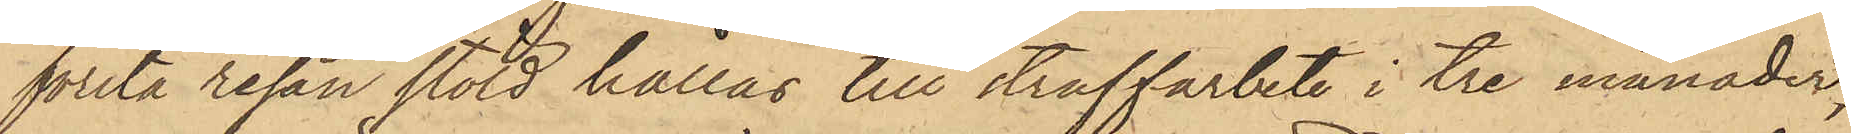första resan stöld hållas till straffarbete i tre månader,
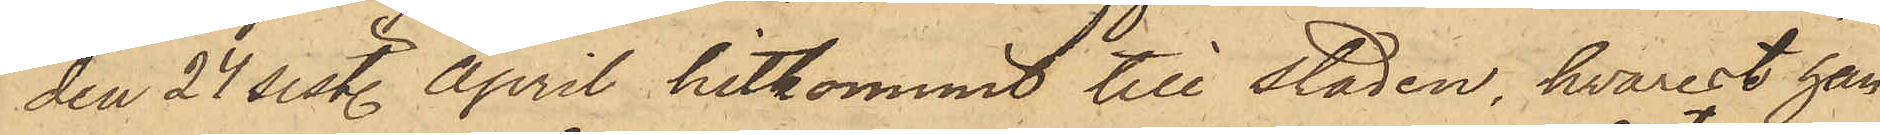den 27 sist. April hitkommit till staden, hvarest han
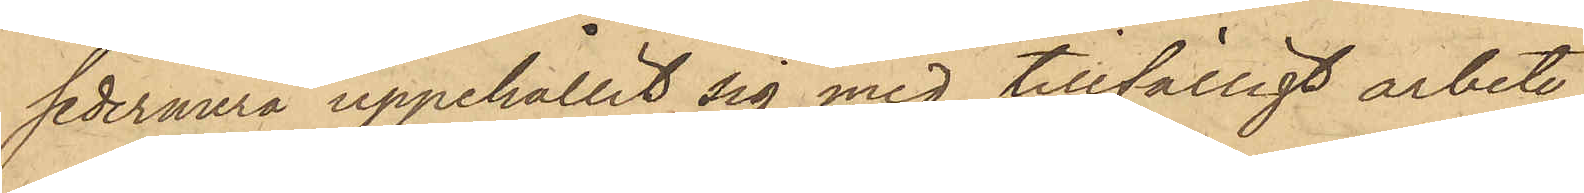sedermera uppehållit sig med tillfälligt arbete;
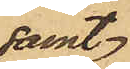samt
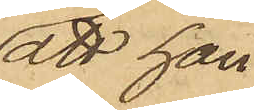att han
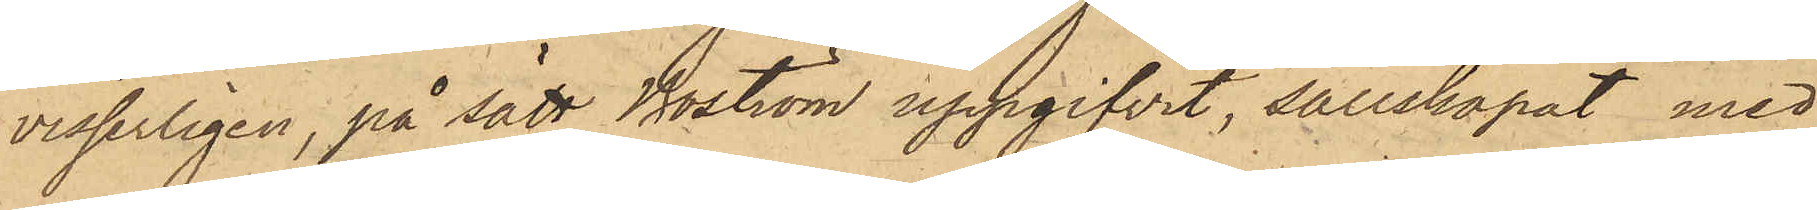visserligen, på sätt Boström uppgifvit, sällskapat med
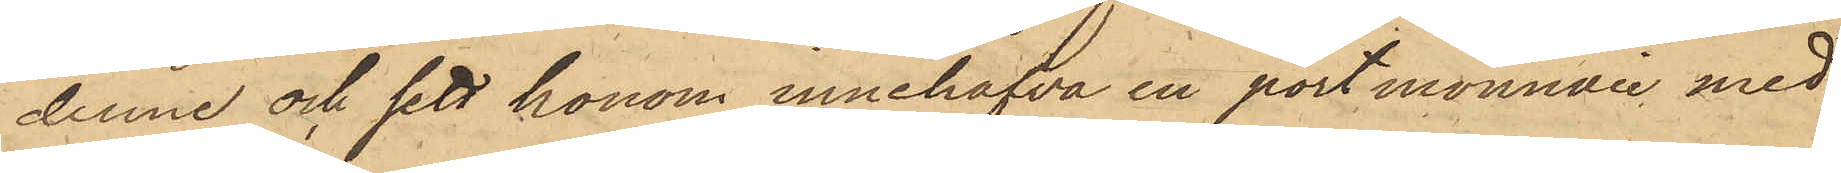denne och sett honom innehafva en portmonnaie med
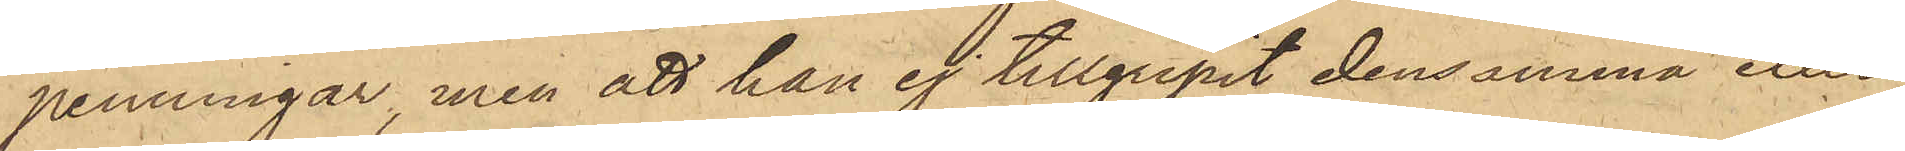penningar, men att han ej tillgripit densamma eller
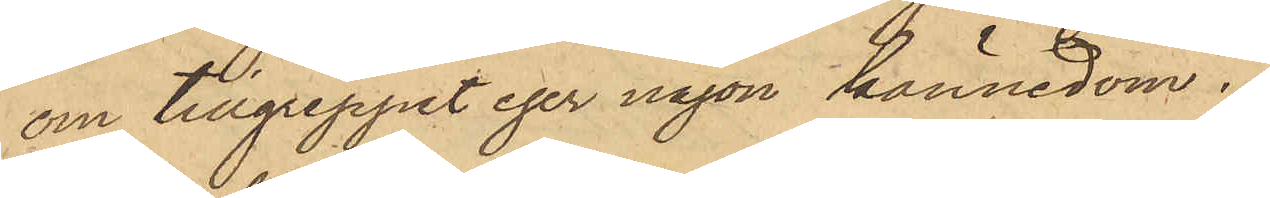om tillgreppet eger någon kännedom.
